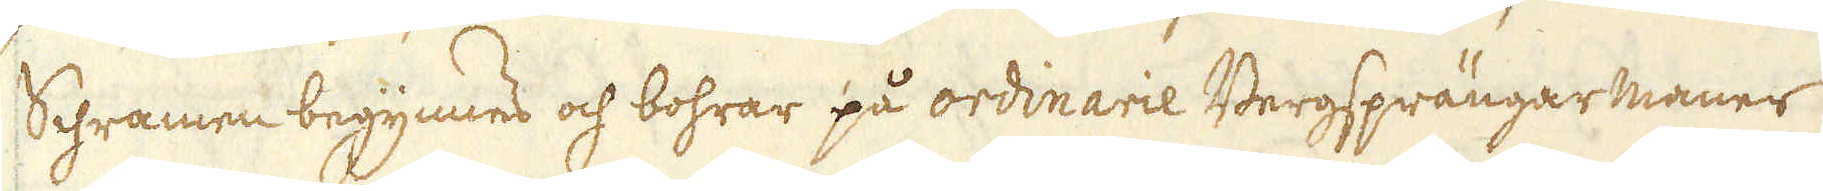Schramen begynnes och bohrar på ordinarie Bergsprängarmaner
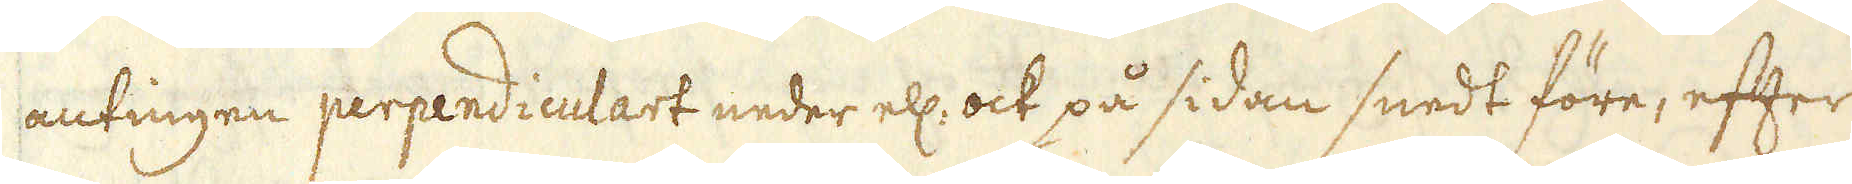antingen perpendiculart neder ell: ock på sidan snedt före, efter
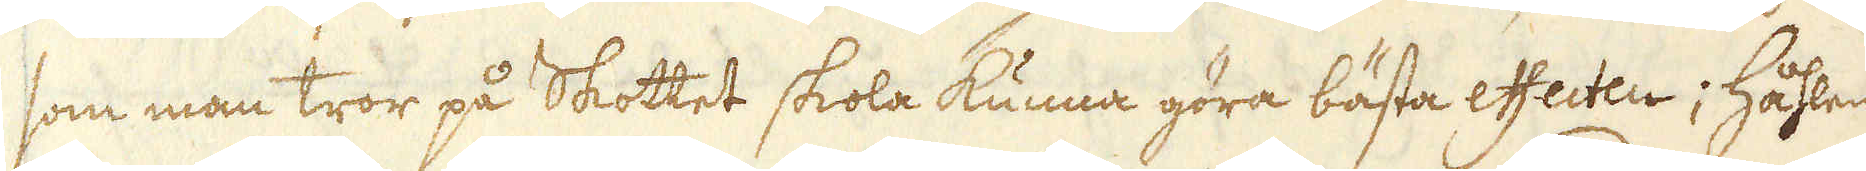som man tror på Skottet skola kunna göra bästa effecten; Håhlen
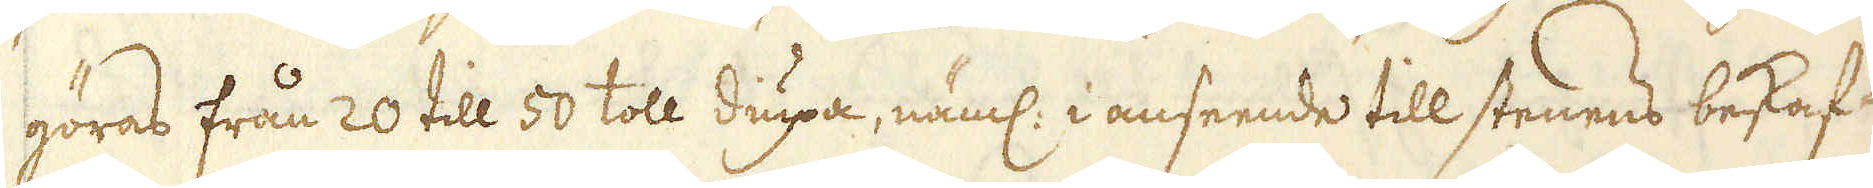göras från 20 till 50 toll diupa, näml: i anseende till stenens beskaf-
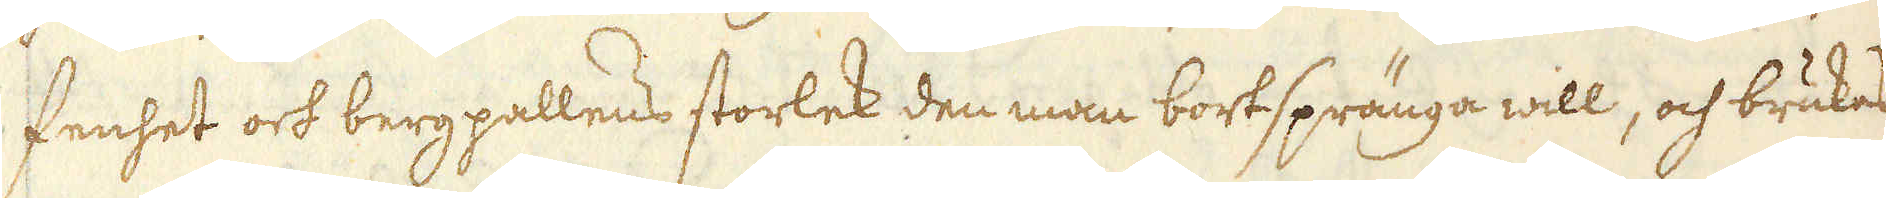fenhet och bergpallens storlek den man bortspränga will, och brukas
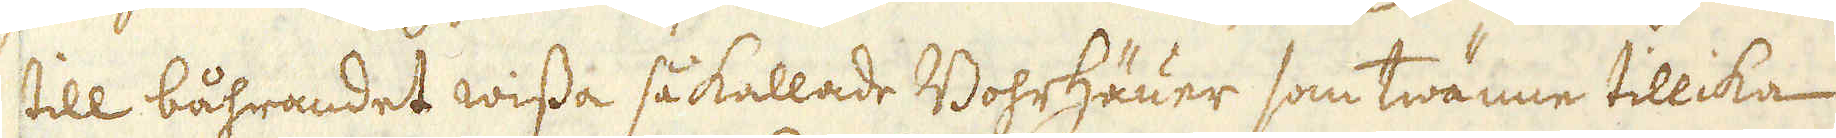till båhrandet wissa så kallade Bohrhäuer som twänne tillika
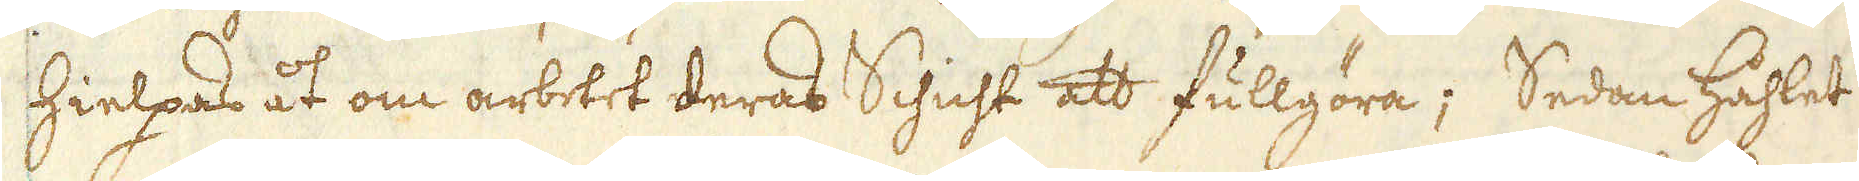hielpas åt om arbetet deras Schicht att fullgöra; Sedan håhlet
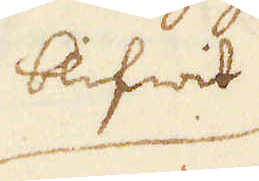blifwit
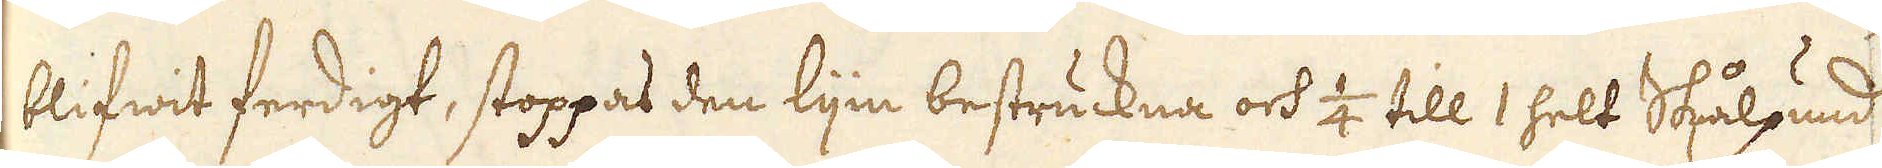blifwit ferdigt, stoppas den lijn bestruckna och 1/4 till 1 helt Skålpund
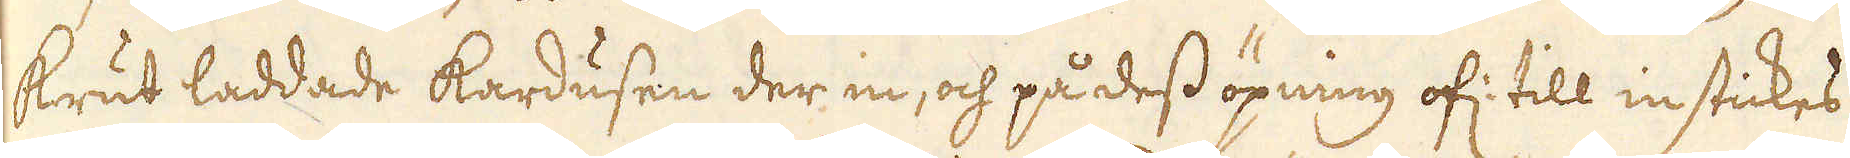krut laddade kardusen der in, och på dess öpning of: till instickes
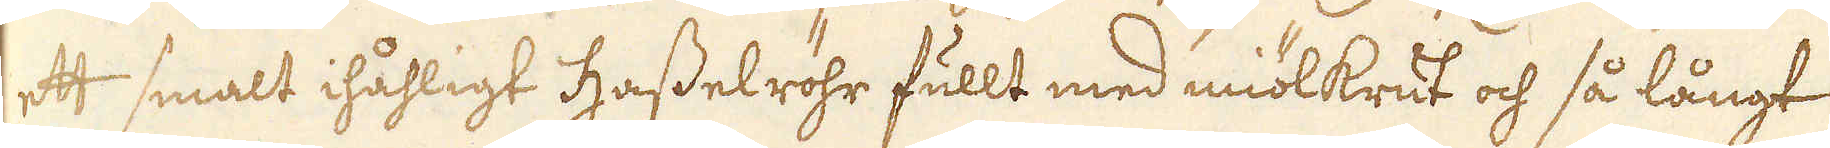ett smalt ihåhligt Hasselröhr fullt med miölkrut och så långt
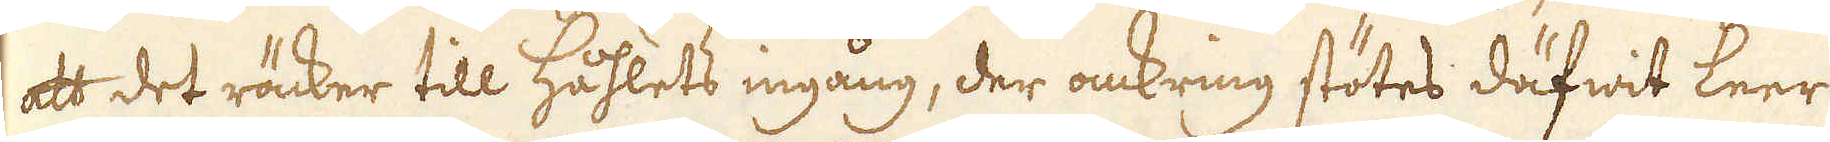att det räcker till Håhlets ingång, der omkring stötes däfwit Leer
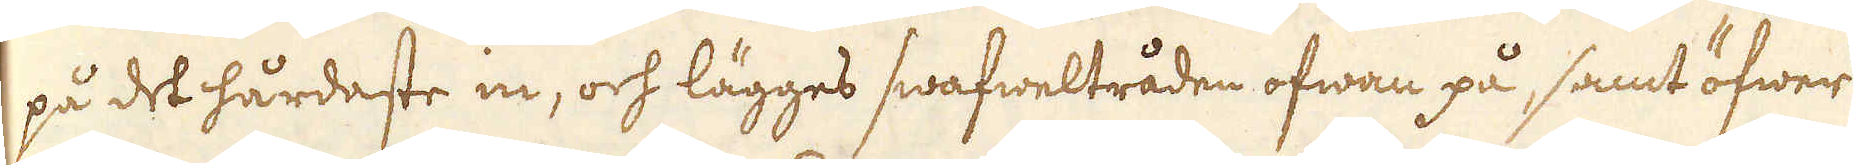på det hårdaste in, och lägges swafweltråden ofwan på, samt öfwer
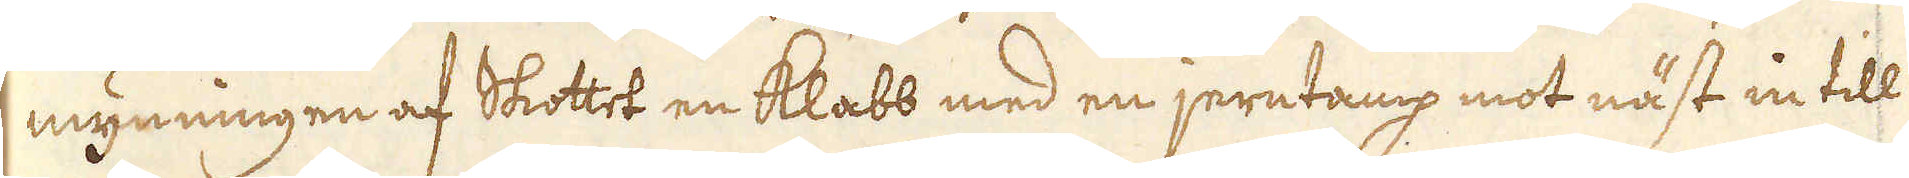mynningen af Skottet en klabb med en jerntamp mot näst in till
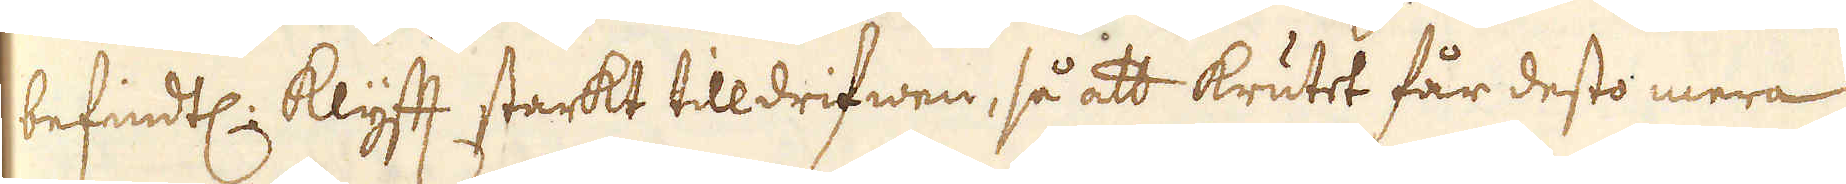befindtl: klyfft starkt tilldrifwen, så att krutet får desto mera
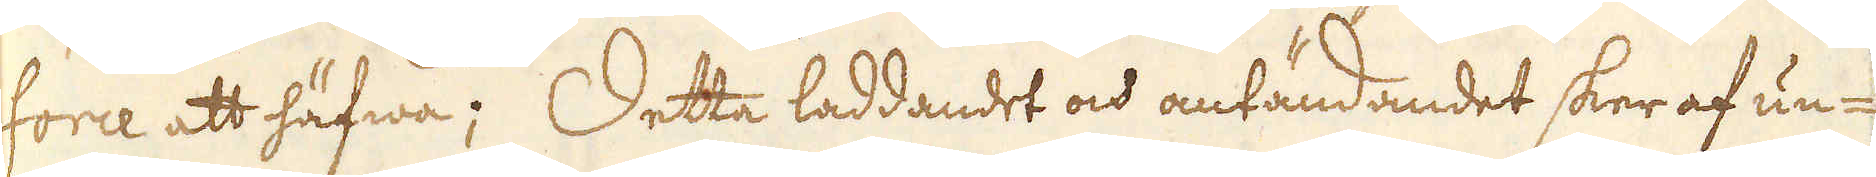force att häfwa; Detta laddandet och antändandet sker af un-
